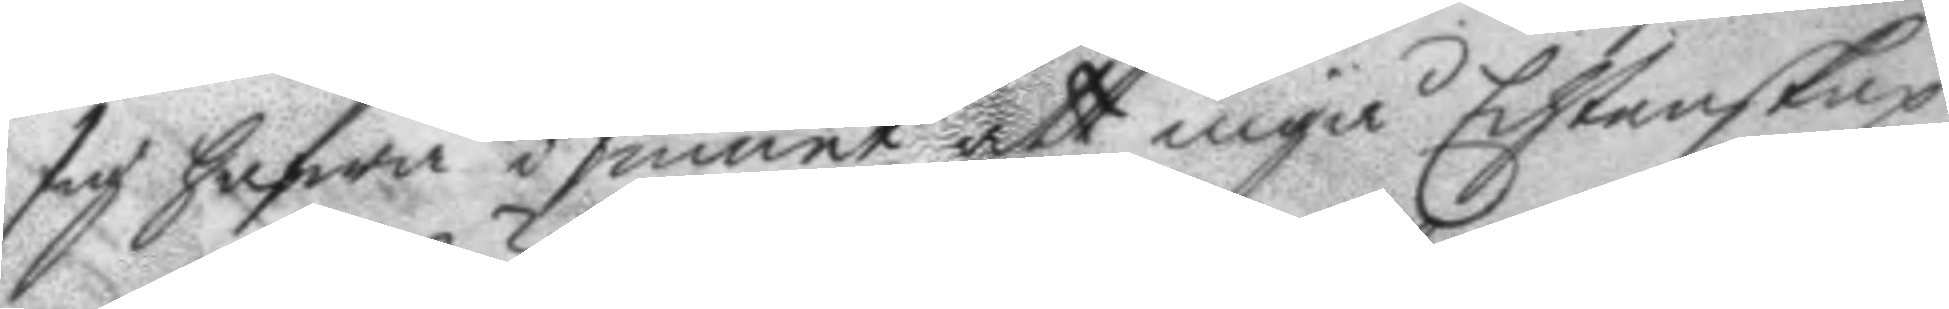sig hafwa i sinnet att ingå Echtenskap
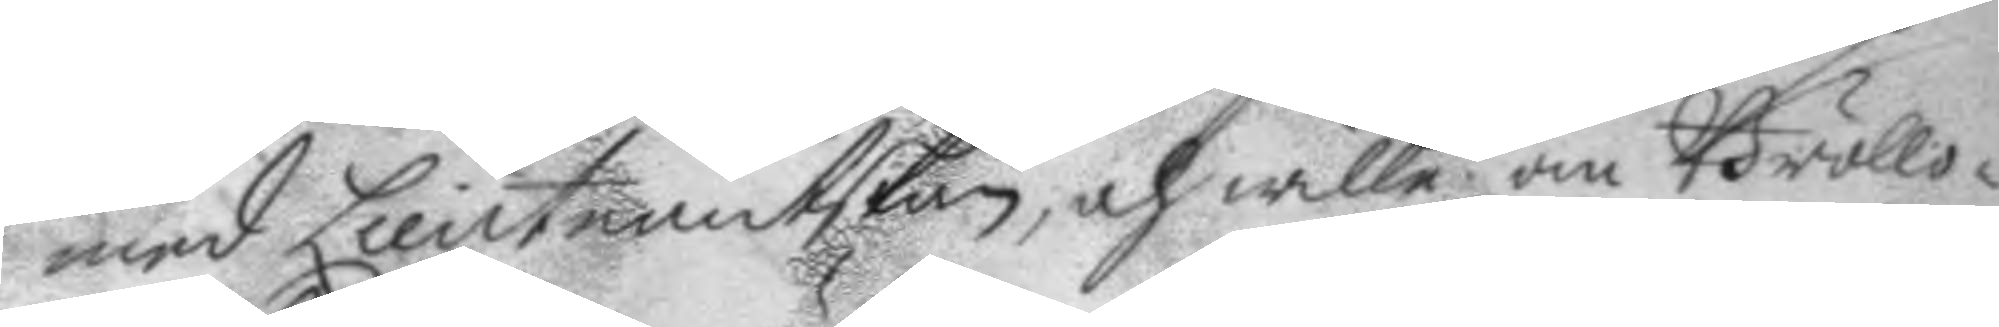med Lieutnantskan, och wille om Bröllo¬
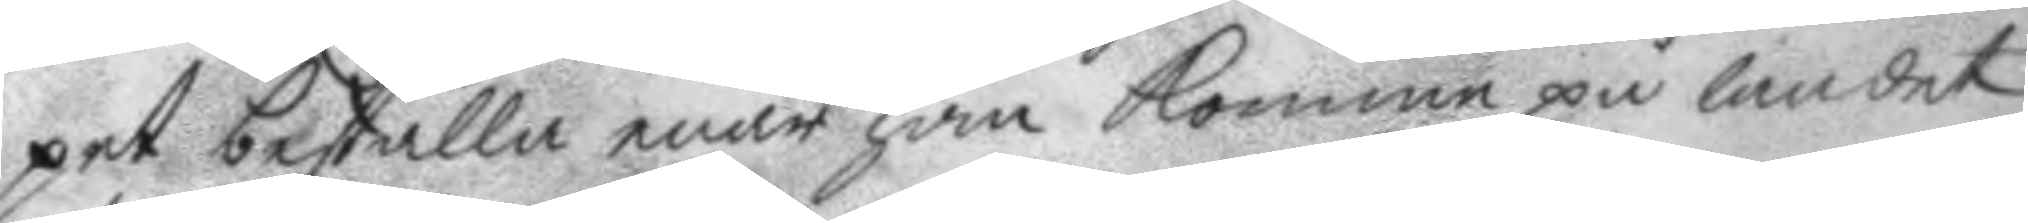pet beställa enär han komme på landet
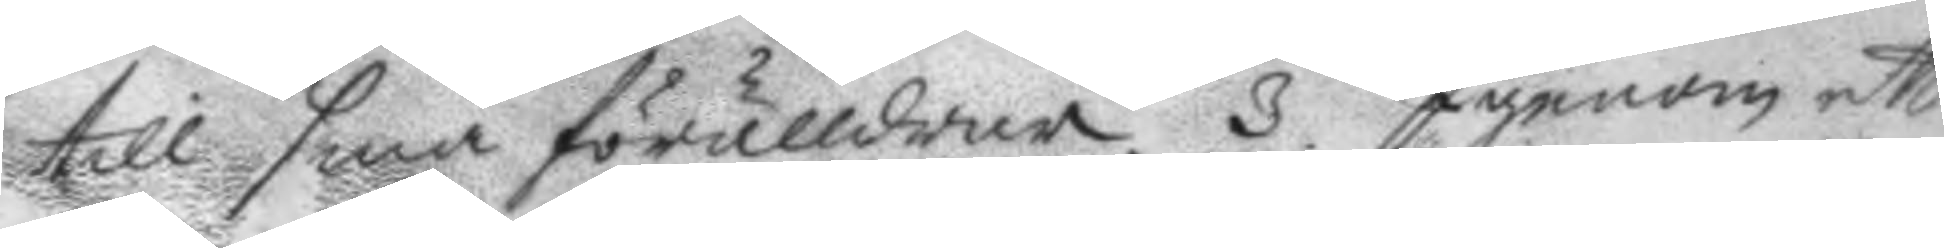till sina förälldrar. 3 Igenom ett
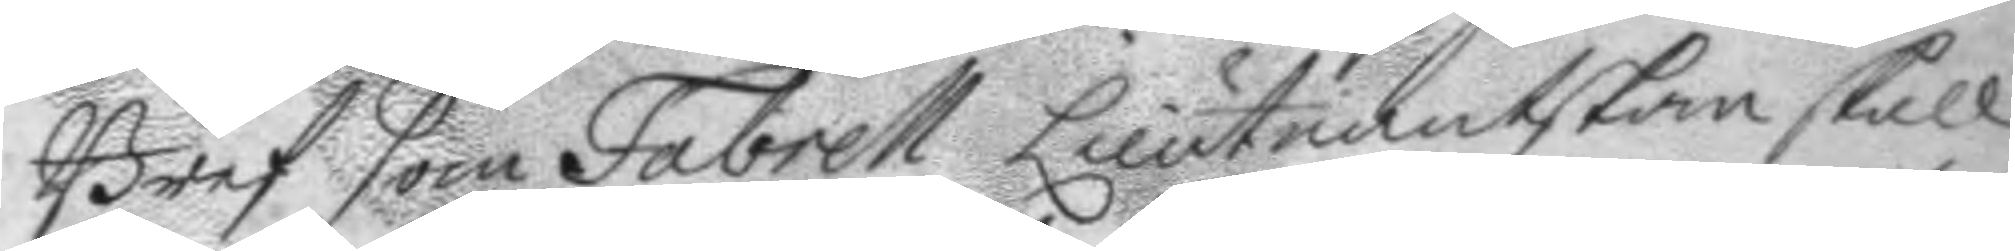Bref som Fabrell Lieutnantskan skall
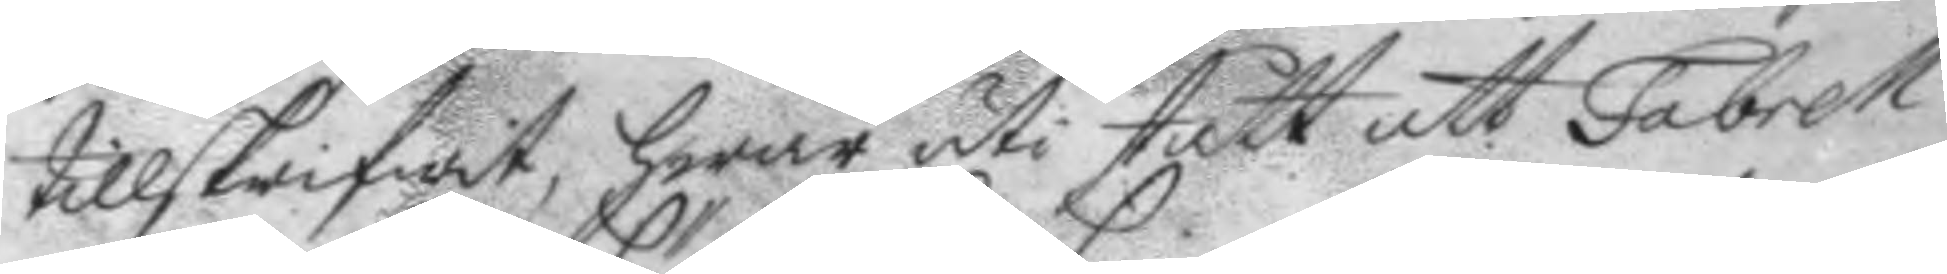tillskrifwit, hwar uti stått att Fabrell
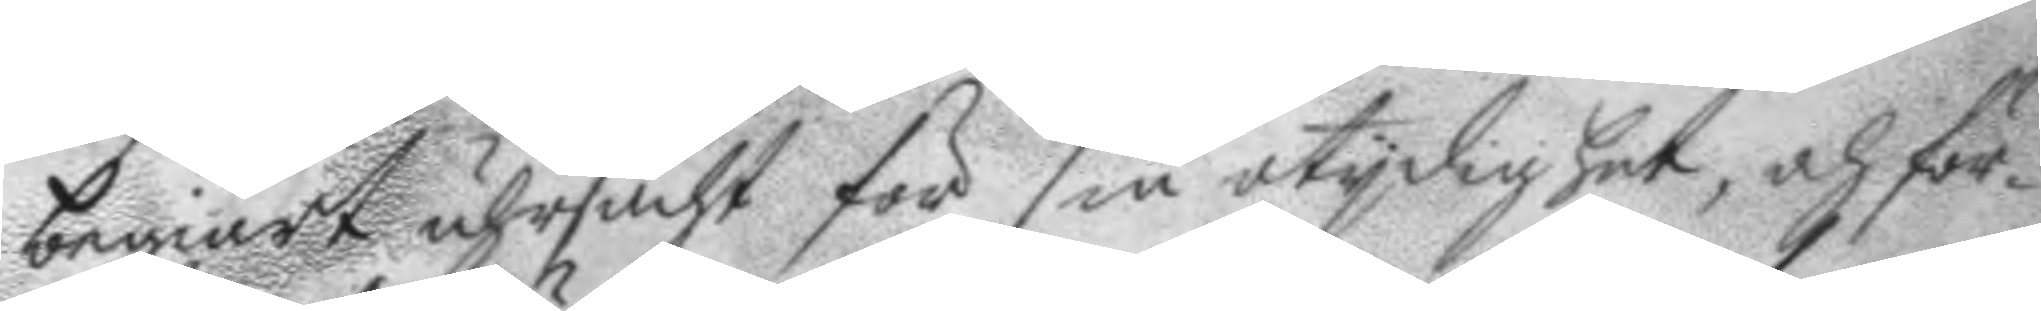begiärt uhrsächt för sin otydighet, och för¬
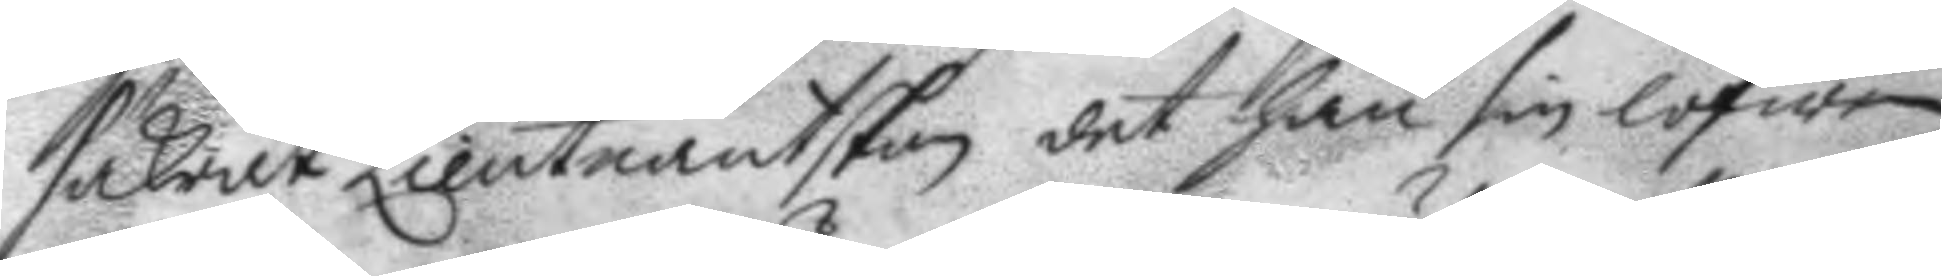säkrat Lieutnantskan det han sin lofwen
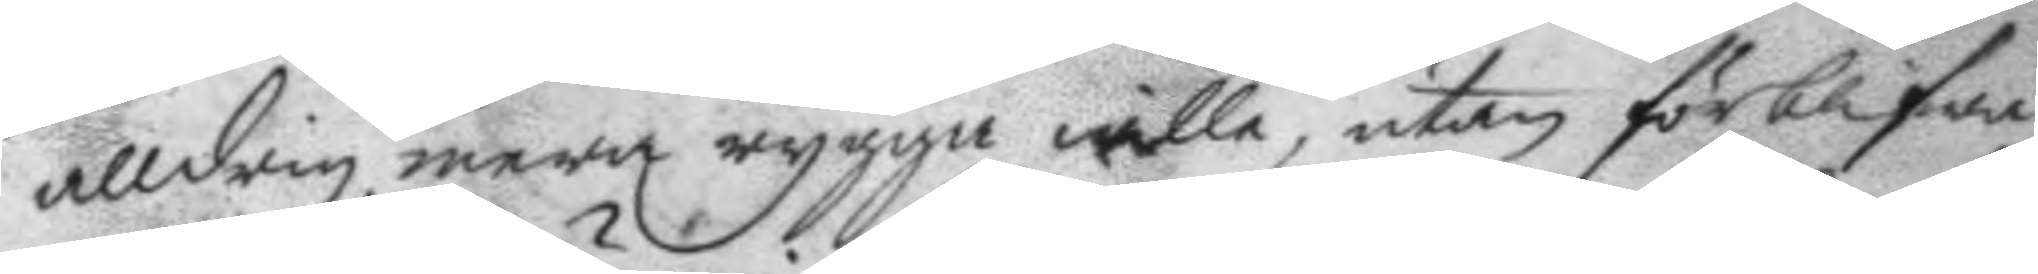alldrig mera rygga wille, utan förblifwa
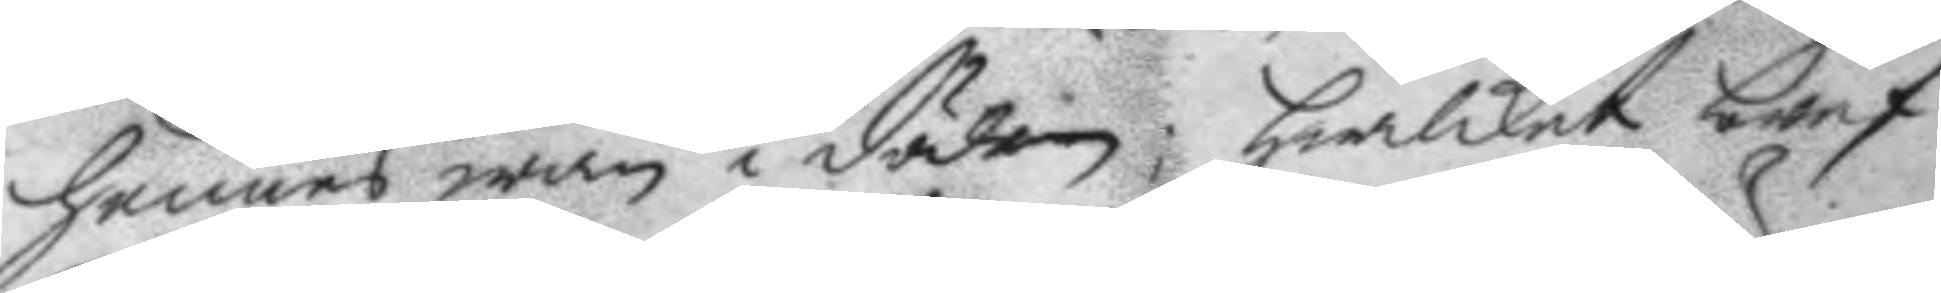hennes wän i döden; hwilket bref
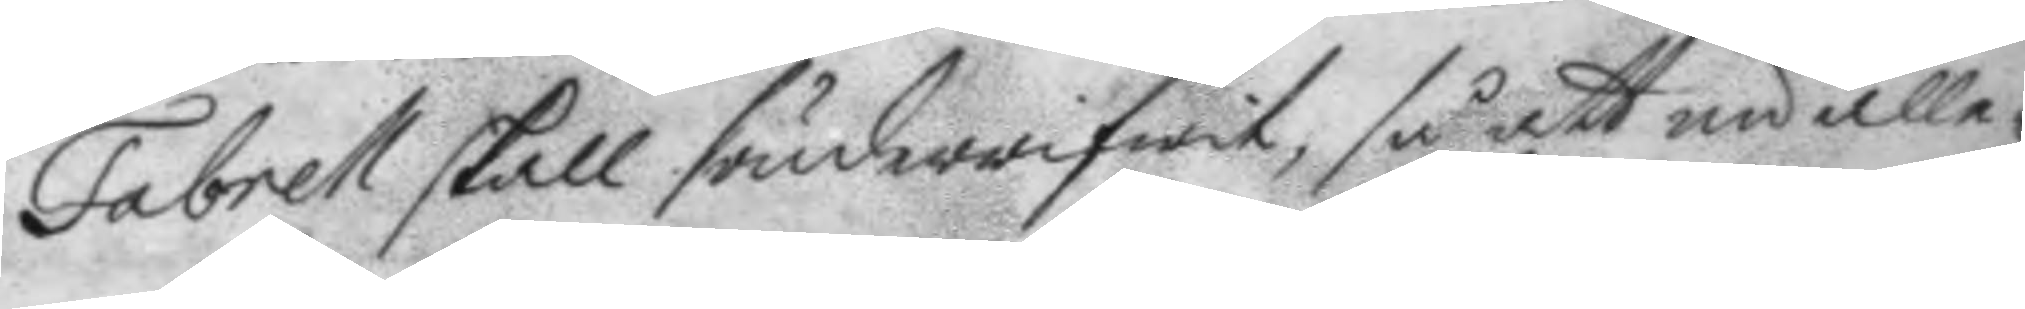Fabrell skall sönderrifwit, så att nu alle¬
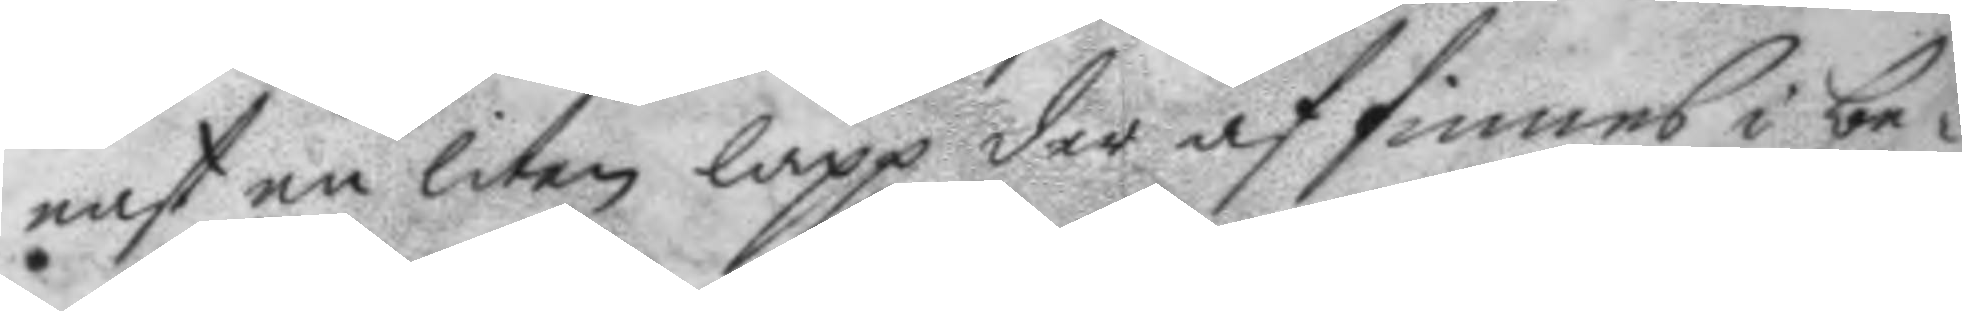nast en liten lapp der af finnes i be¬
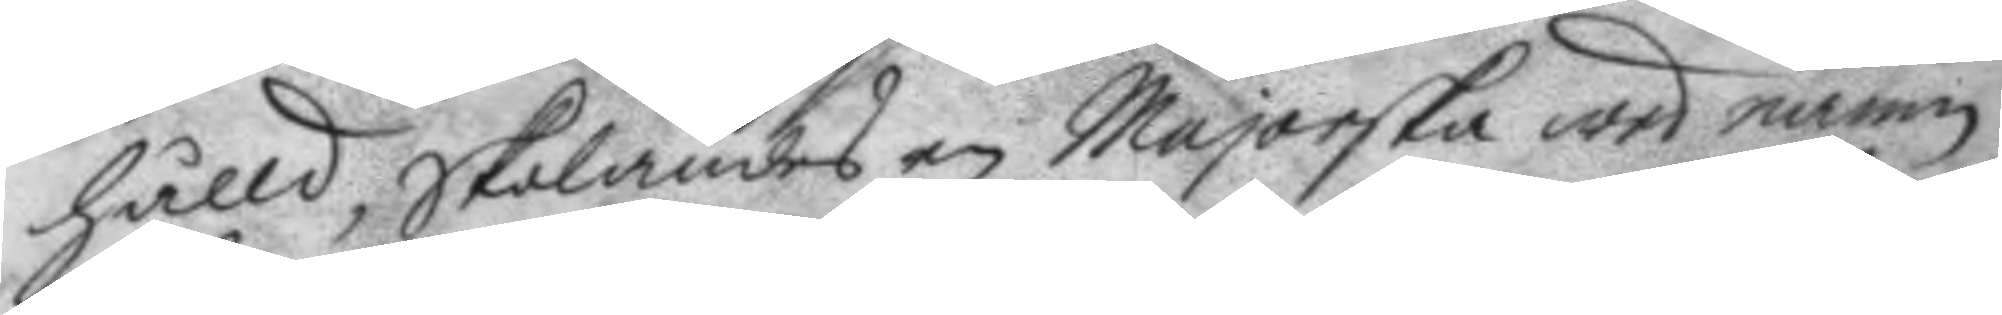hålld, skolandes en Majorska wed namn
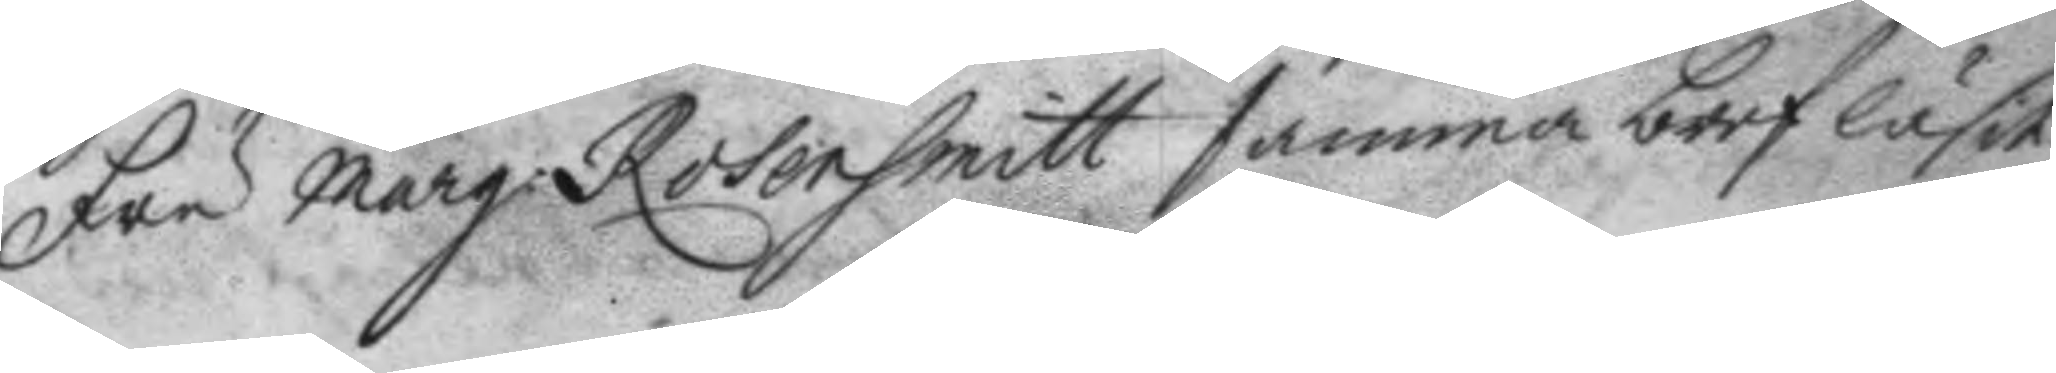Fru Marg. Rosonsmitt samma bref läsit 
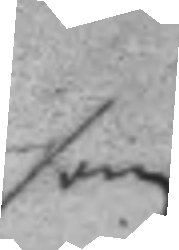som
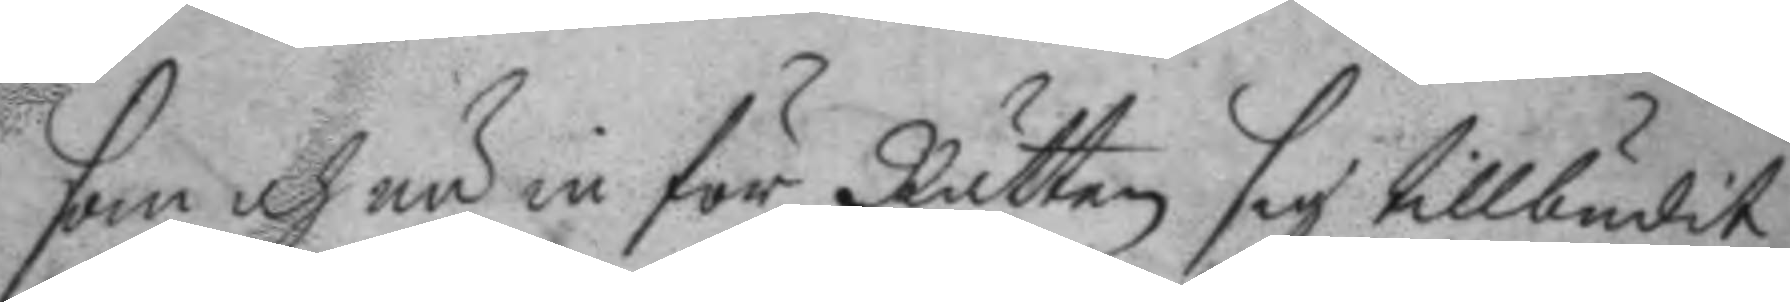som och nu in för Rätten sig tillbudit
